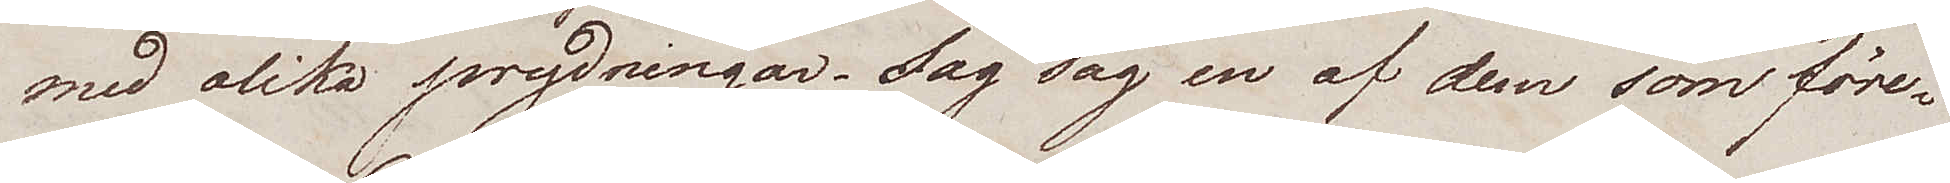med olika prydningar. Jag såg en af dem som före¬
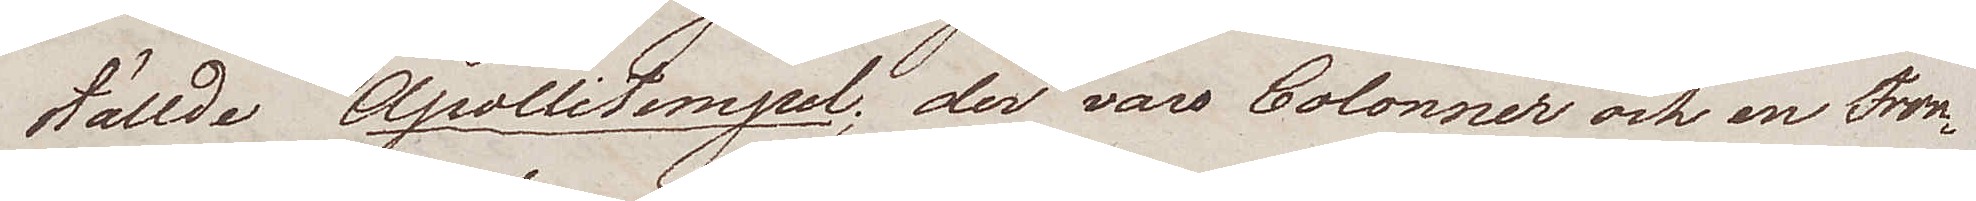ställde Apollitempel; der vars Colonner och en Tron¬
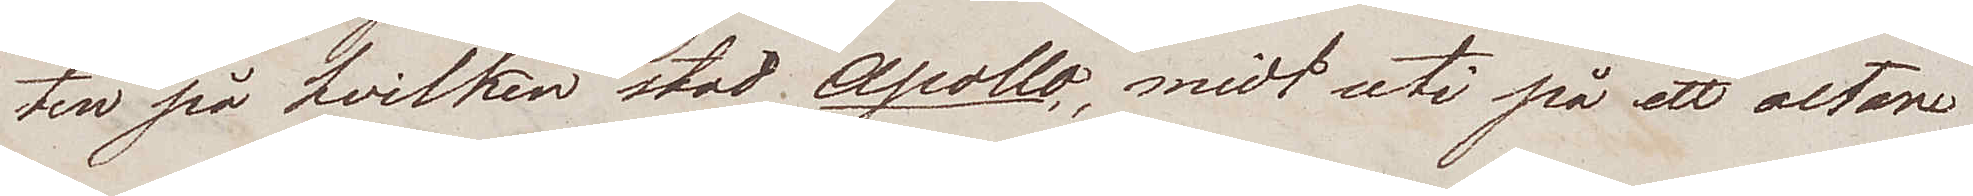sten på hvilken stod Apollo, midt uti på ett altare
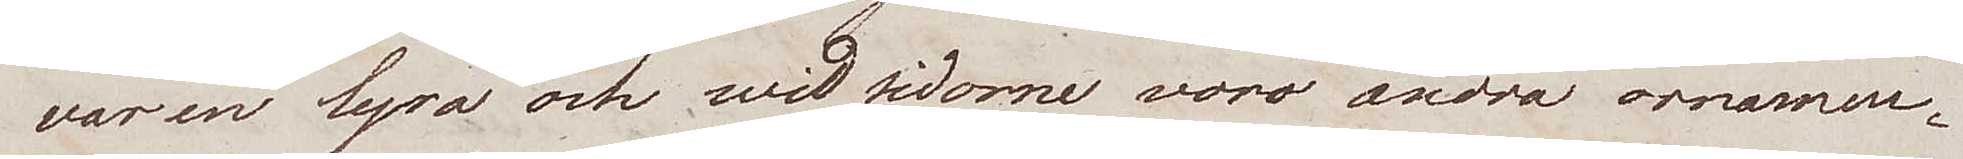var en lyra och wid sidorna voro andra ornamen¬
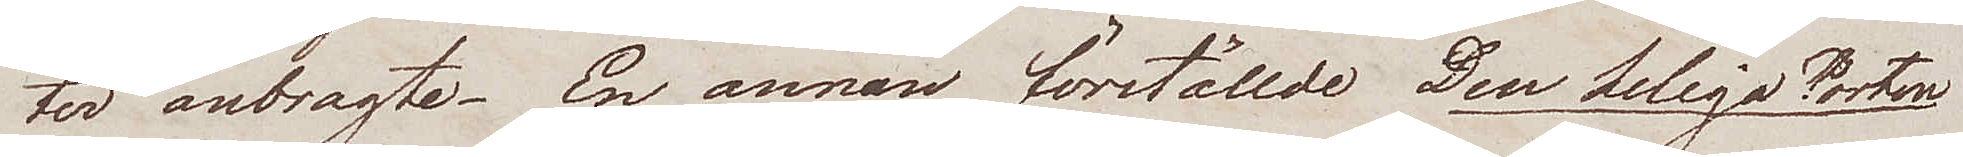ter anbragte. En annan förställde Den heliga Porten
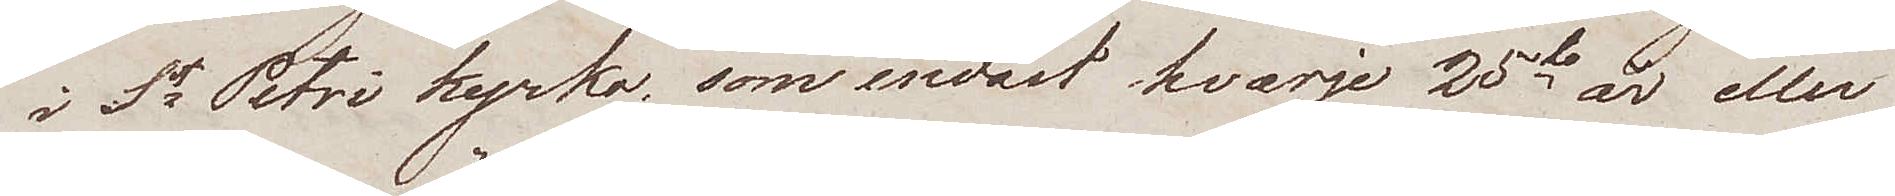i St Petri kyrka, som endast hvarje 25te år eller
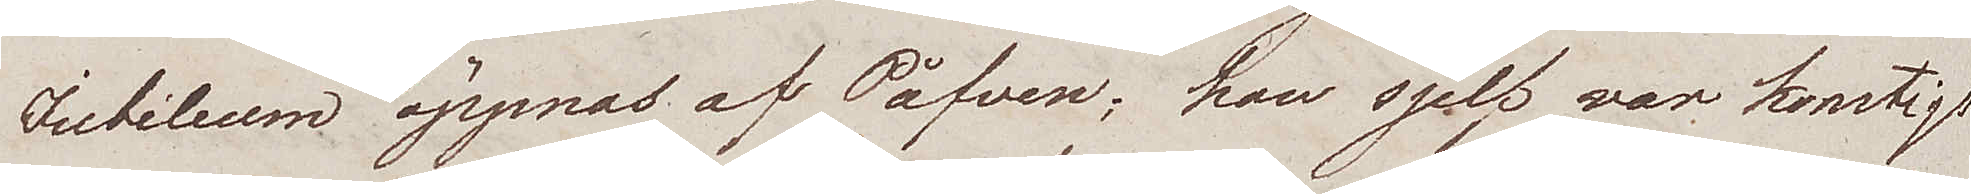Jubileum öppnas af Påfven; han sjelf var konstigt
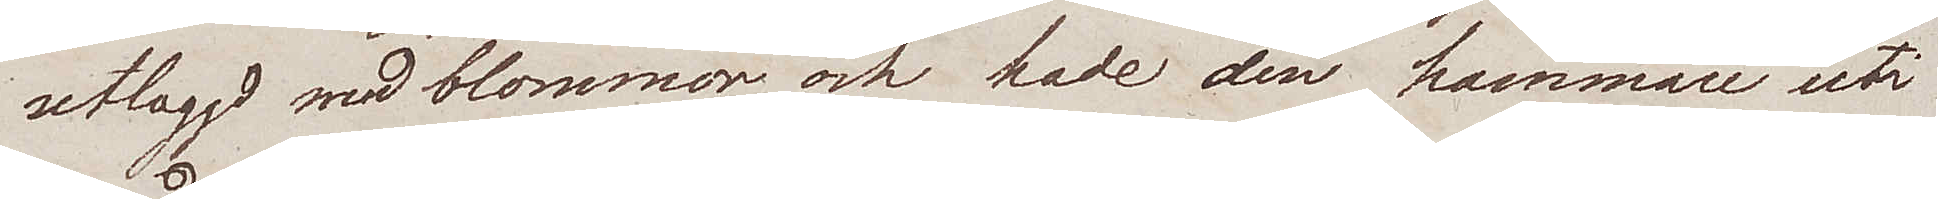utlaggd med blommor och hade den hammare uti
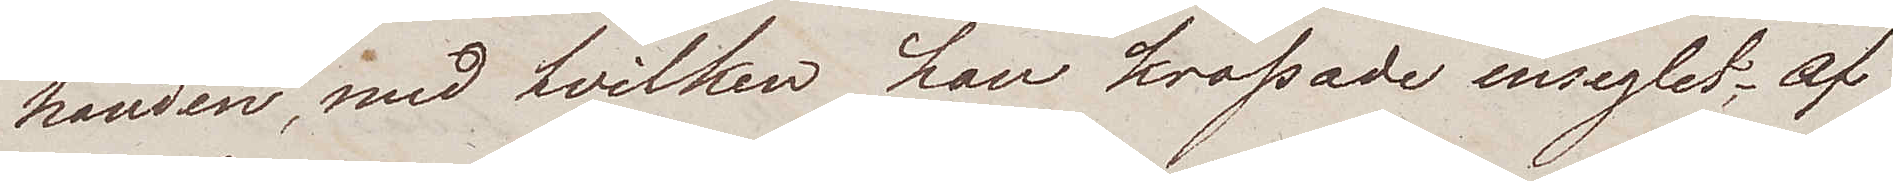handen, med hvilken han krossade inseglet; af
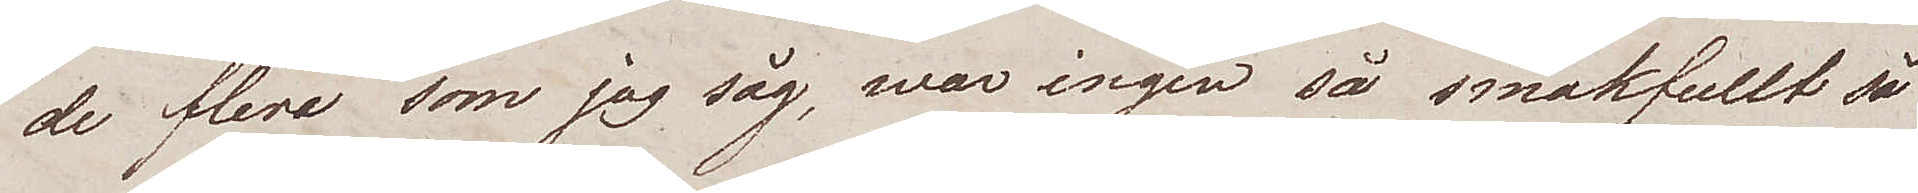de flera som jag såg, war ingen så smakfullt så
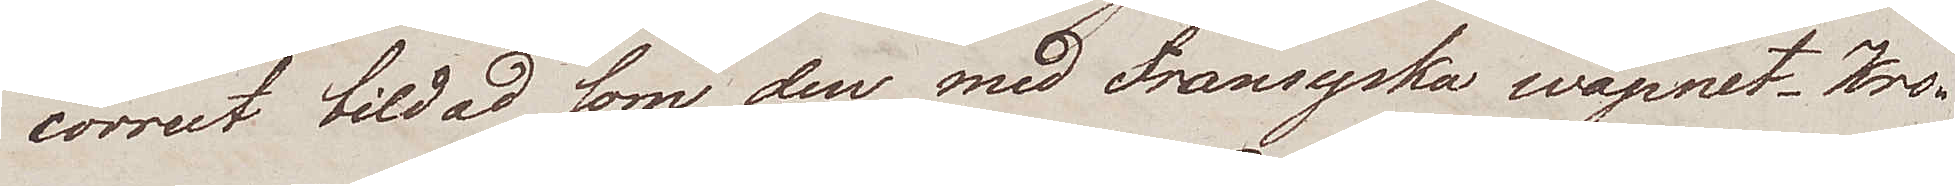correct bildad som den med Fransyska wapnet. Kro¬
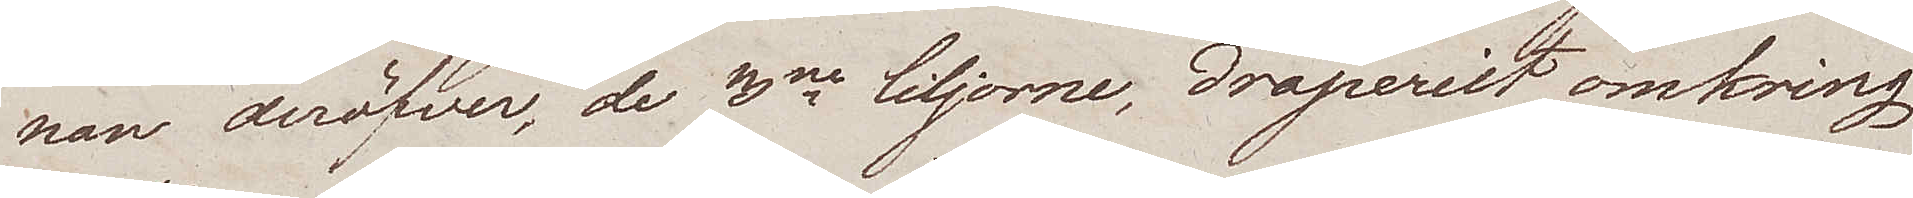nan deröfver, de 3ne liljorne, draperiet omkring
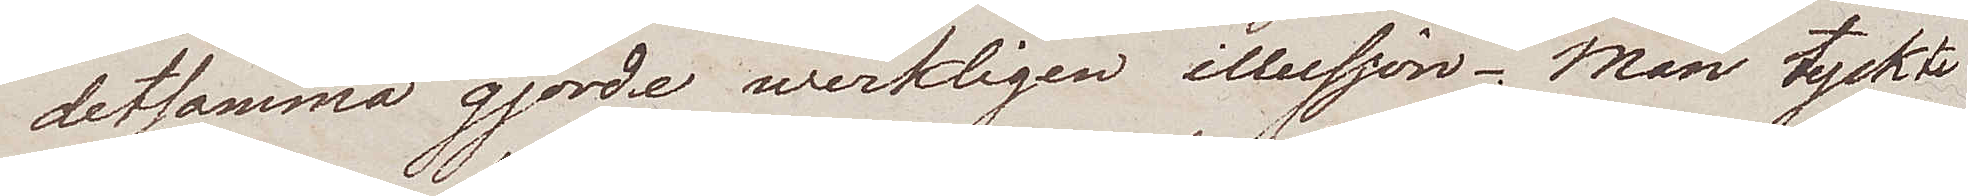detsamma gjorde werkligen illusjon. Man tyckte
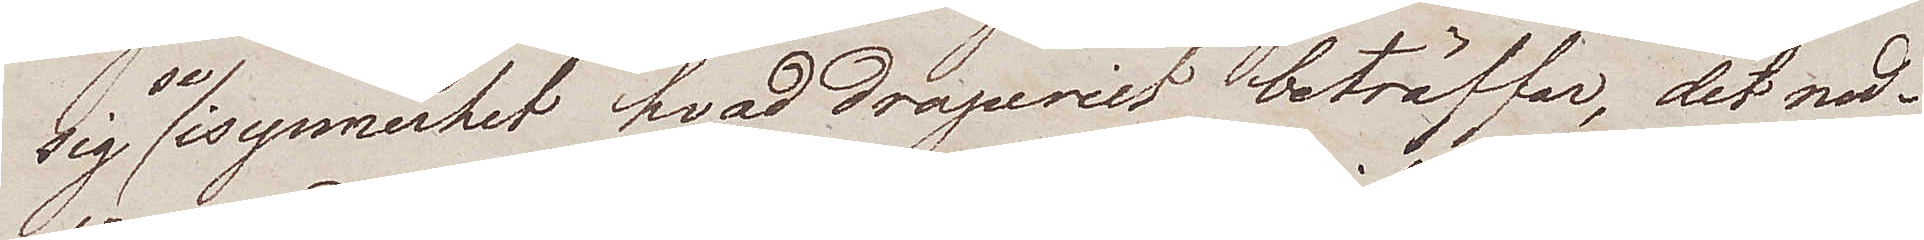sig se isynnerhet hvad draperiet beträffar, det ned¬
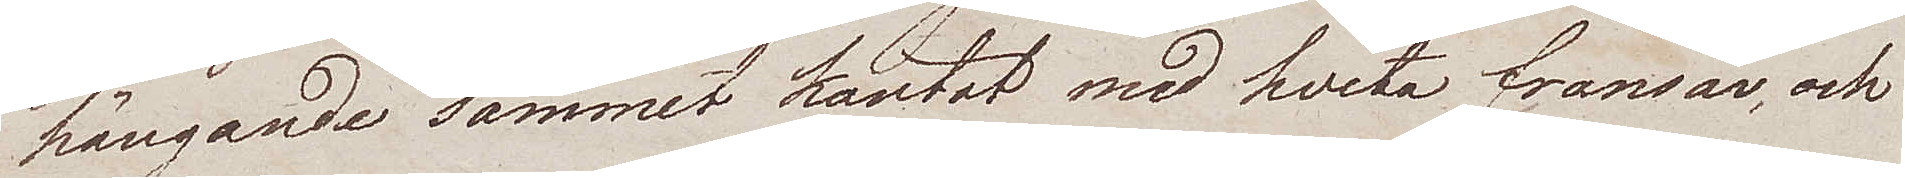hängande sammet kantat med hvita fransar, och
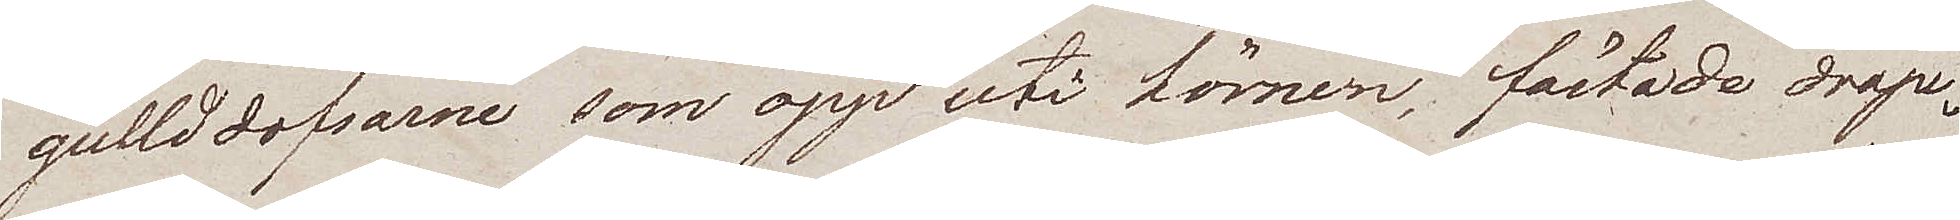gulldtofsarne som opp uti hörnen, fästade drape¬
